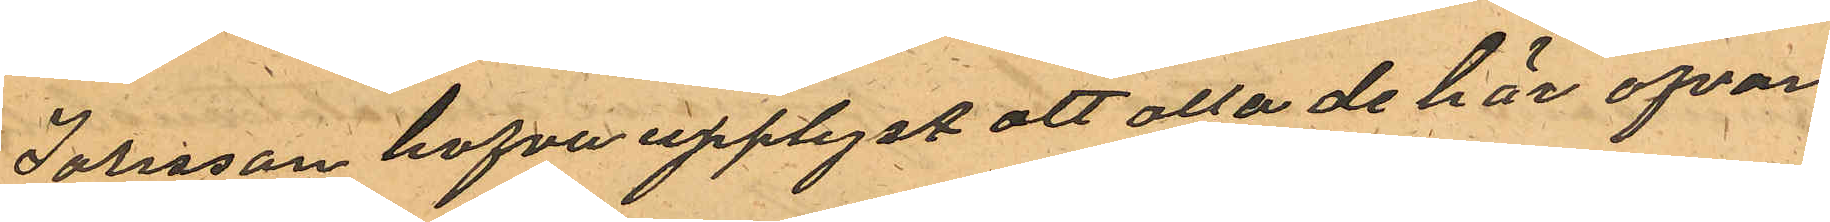Jonsson hafva upplyst att alla de här ofvan¬
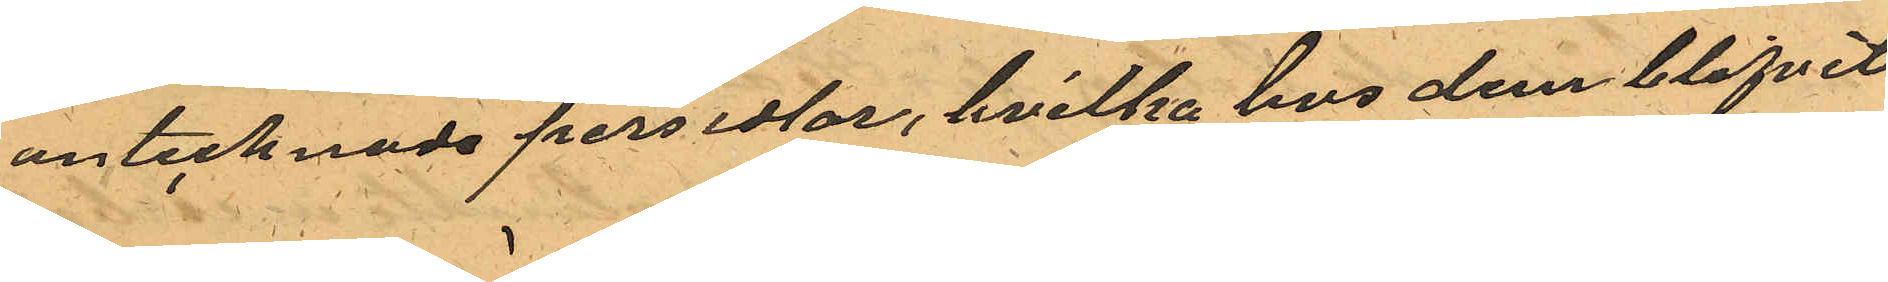antecknade persedlar, hvilka hos dem blifvit
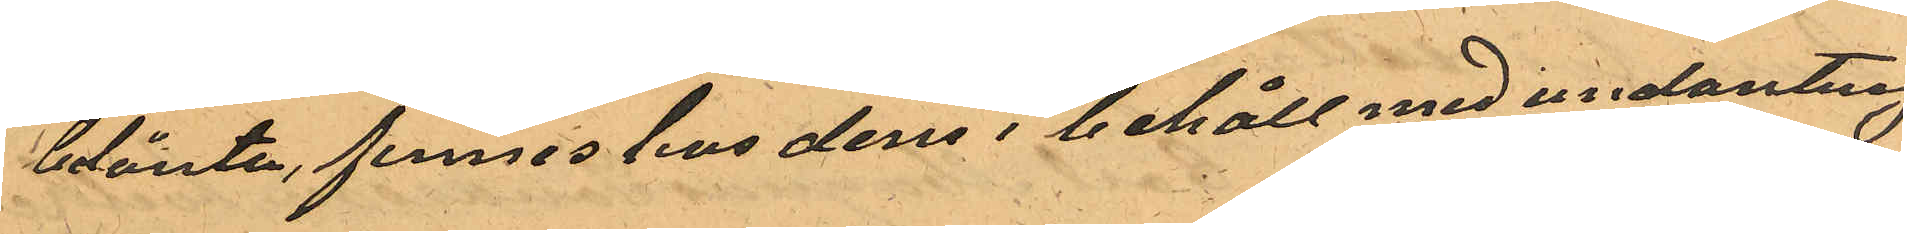belånte, finnes hos dem i behåll med undantag
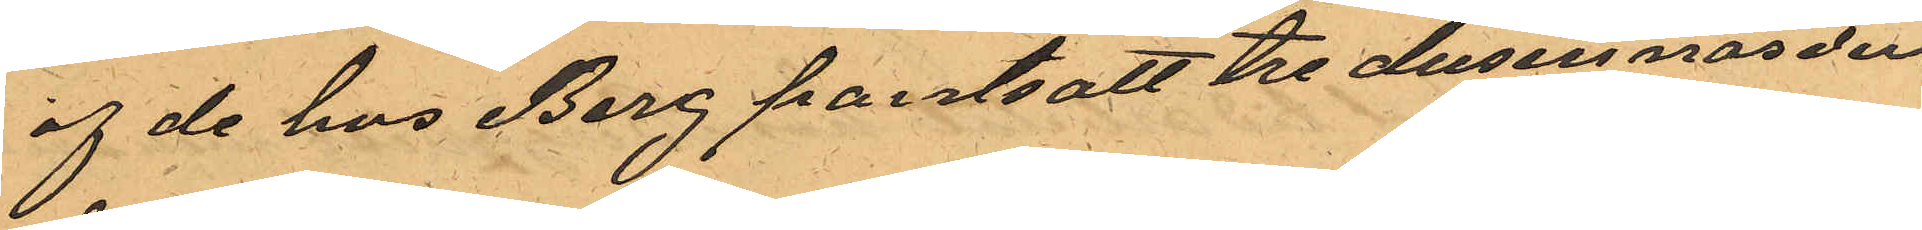af de hos Berg pantsatt tre dusin näsdu¬
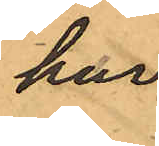kar
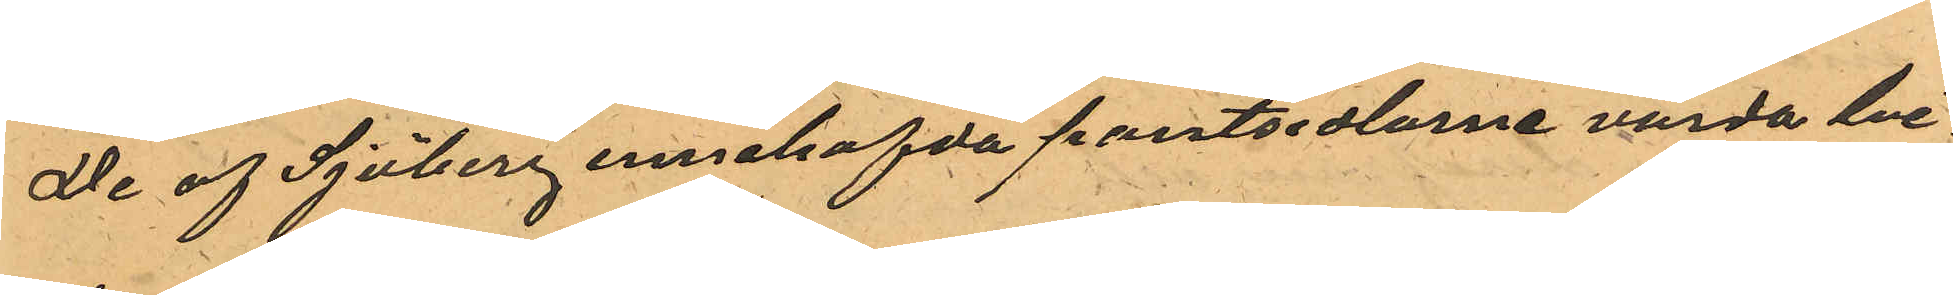De af Sjöberg innehafda pantsedlarne varda bi¬
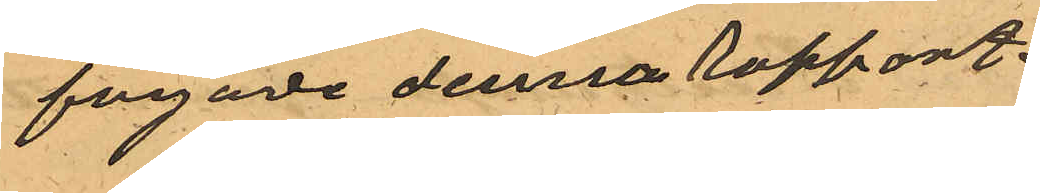fogade denna rapport.
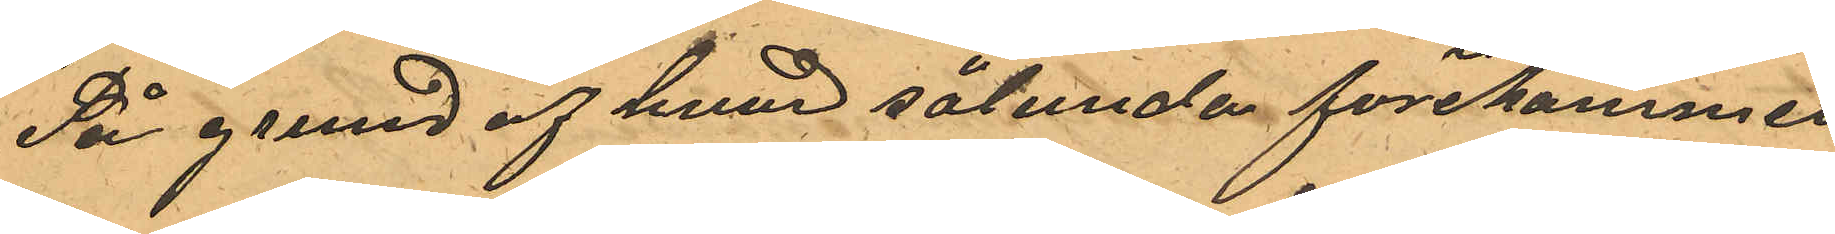På grund af hvad sålunda förekommit
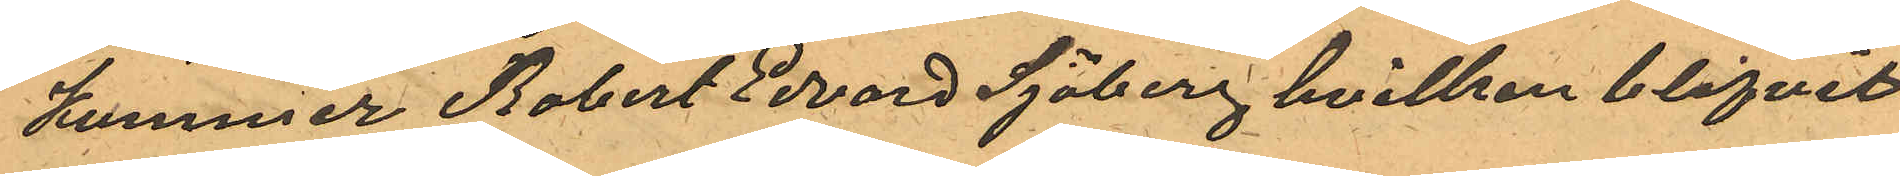Kommer Robert Edvard Sjöberg hvilken blifvit
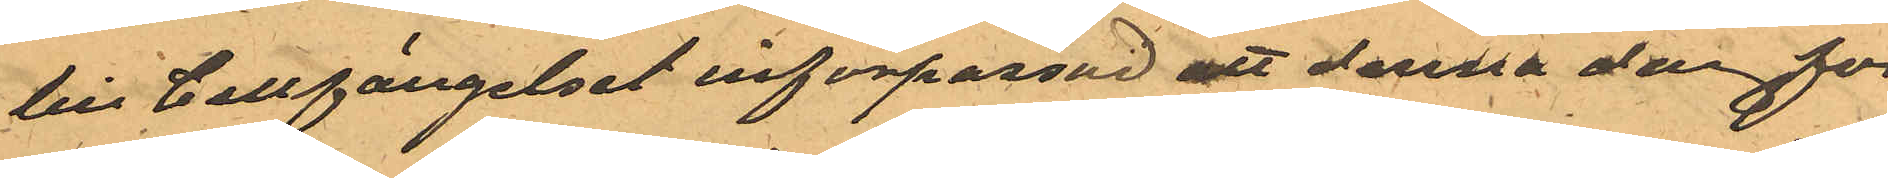till Cellfängelset införpassad att denna dag för
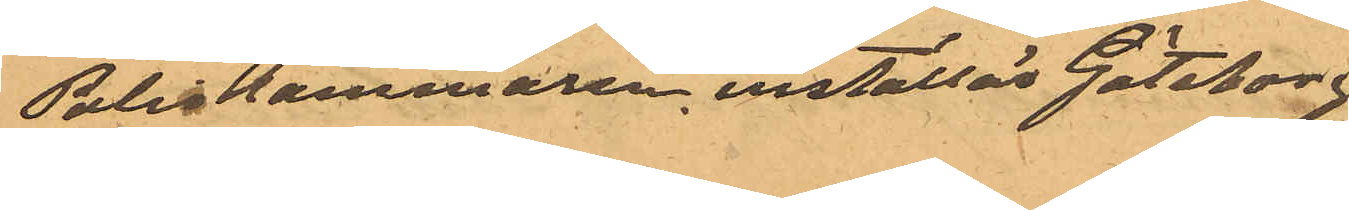Poliskammaren inställas Göteborg
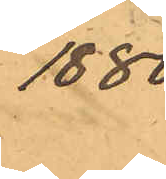1880.
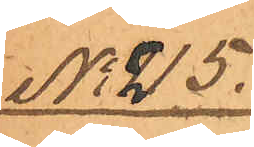No 215.
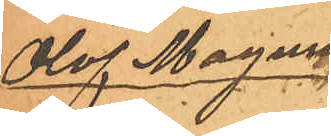Olof Magnus
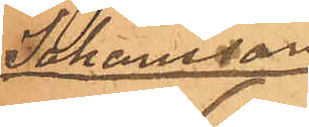Johansson
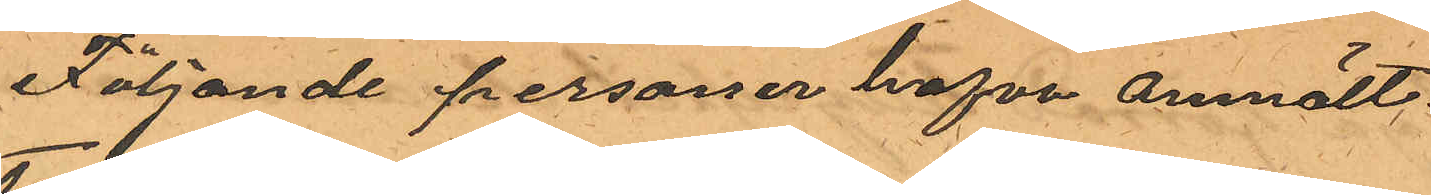Följande personer hafva anmält:
